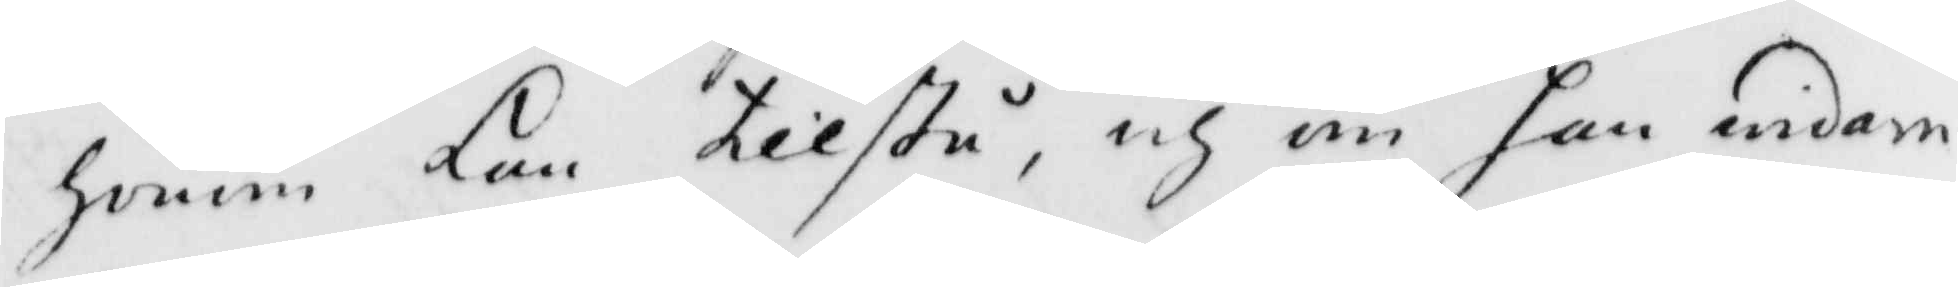honom kan tillstå, och han widare
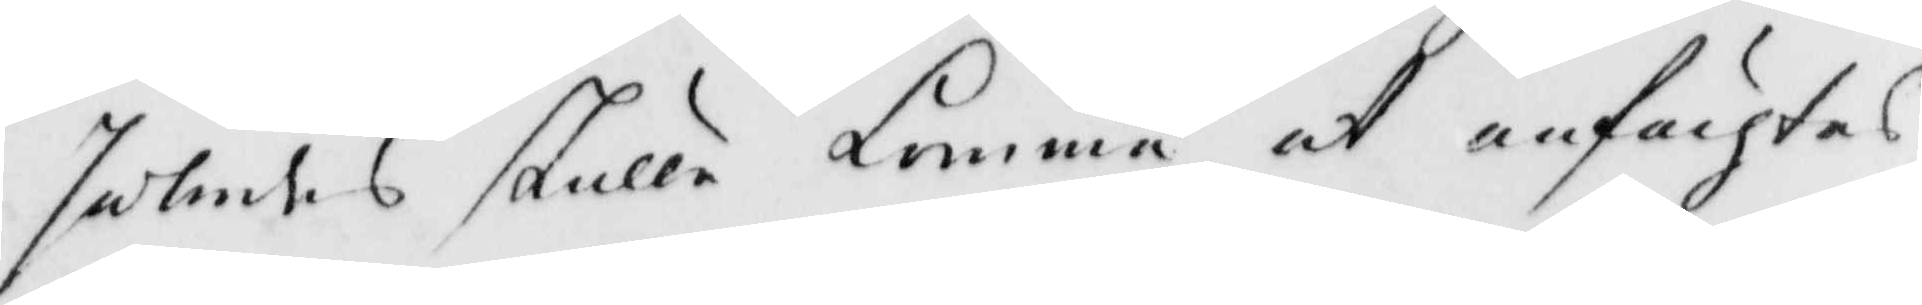således skulle komma at anfächtas,
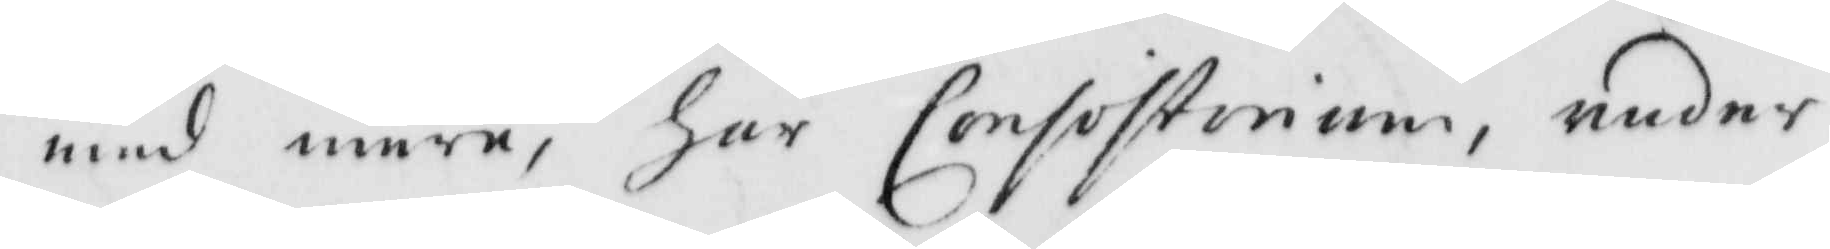med mera, har Consistorium, under
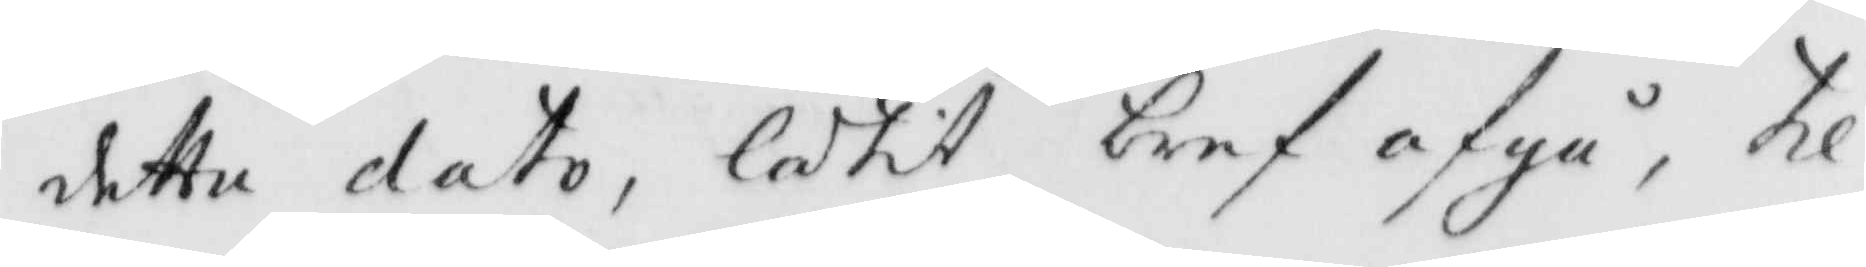detta dato, låtit bref afgå, til
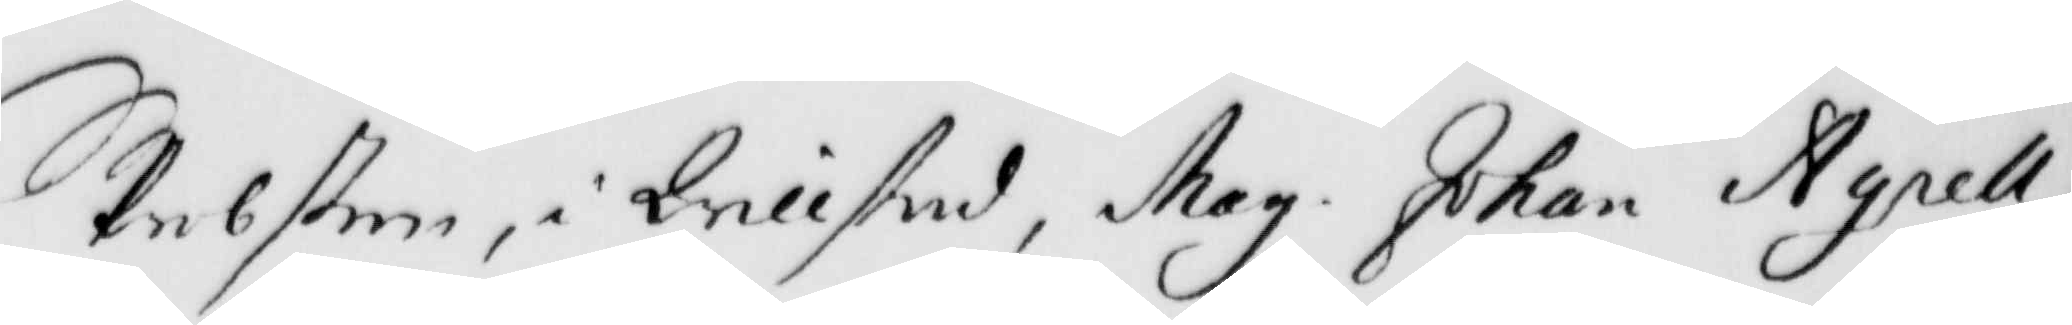probsten i Qvillstad, Mag. Johan Agrell,
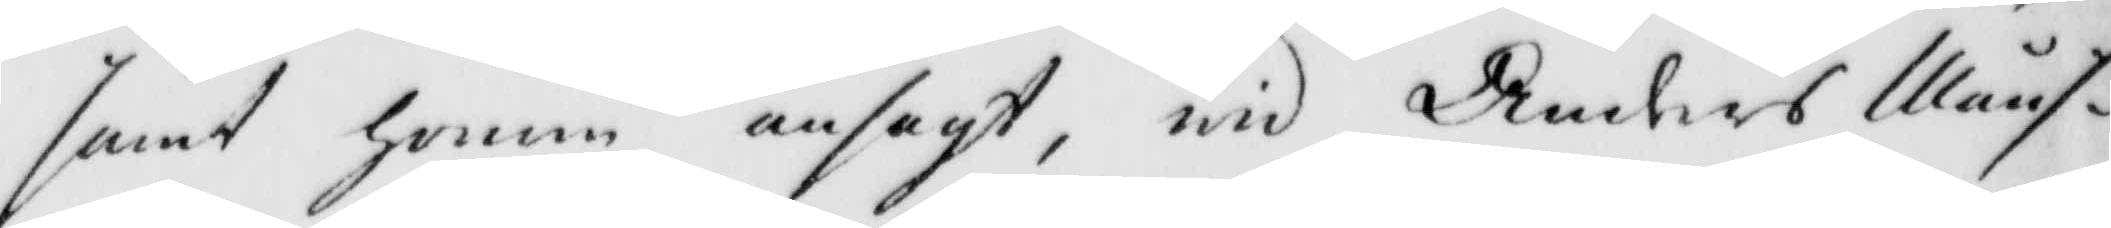samt honom ansagt, wid Anders Måns¬
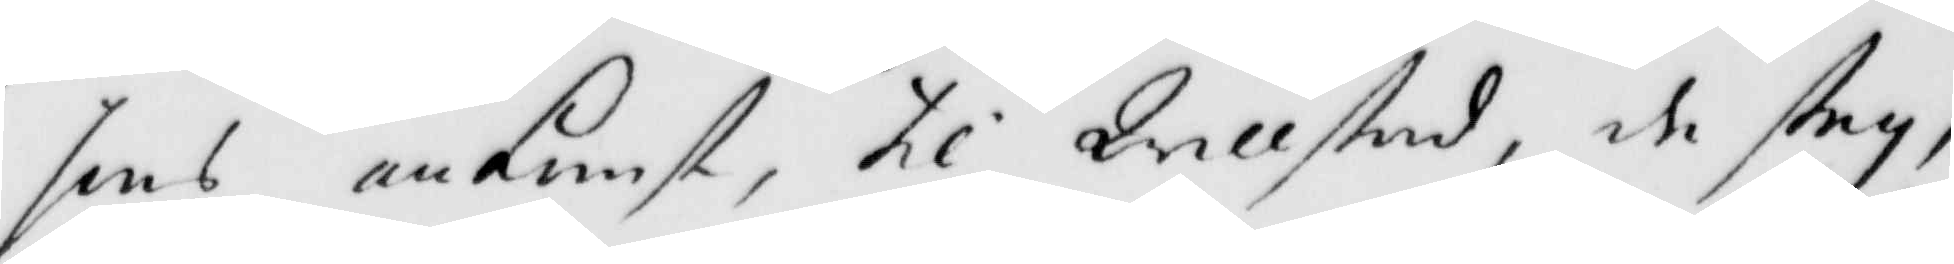sons ankomst, til Qvillstad, de steg,
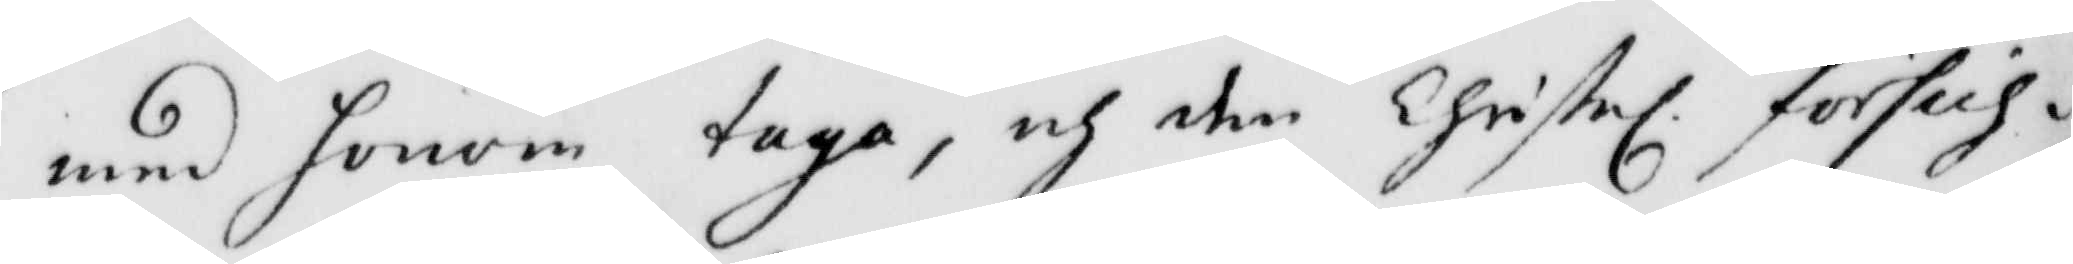med honom taga, och den Christl. försich¬
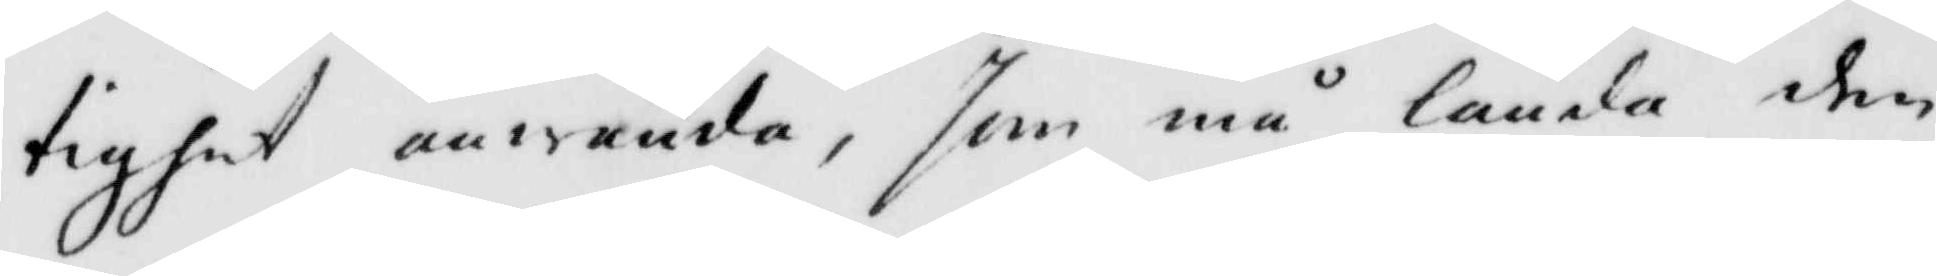tighet anwända, som må lända den
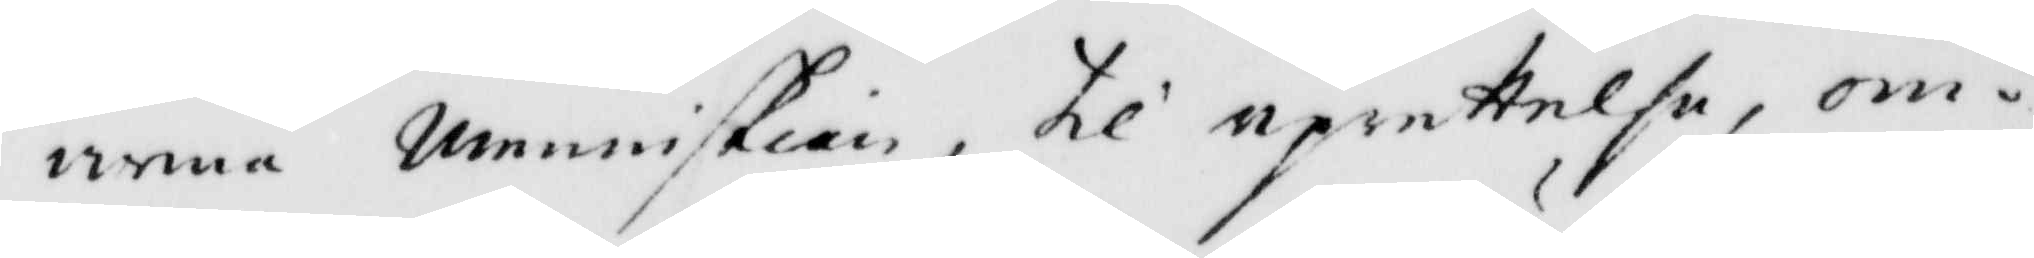arma menniskian, til uprettelse, om¬
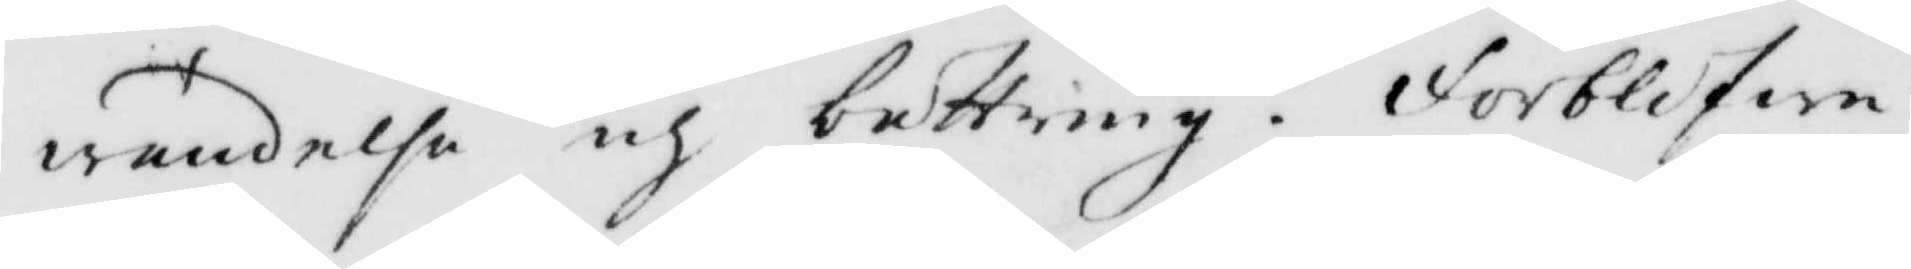wändelse och bättring. Förblifwer
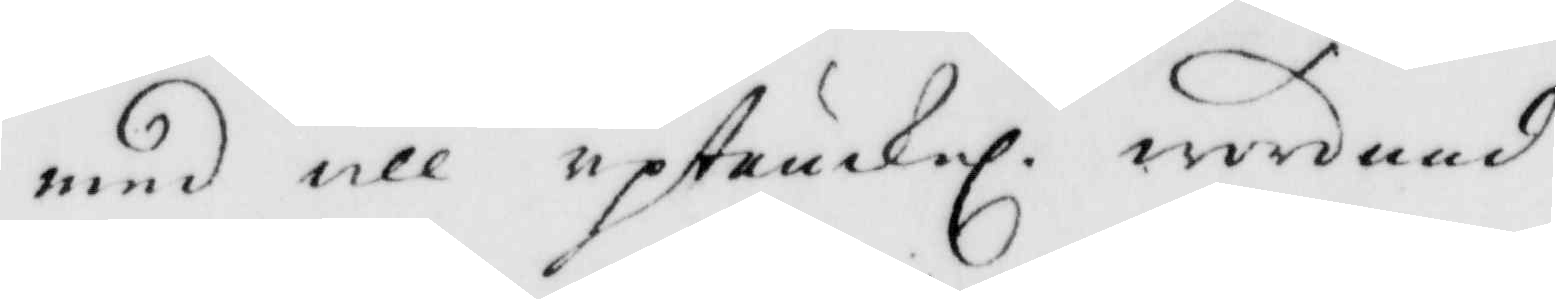med all uptänckel. wördnad
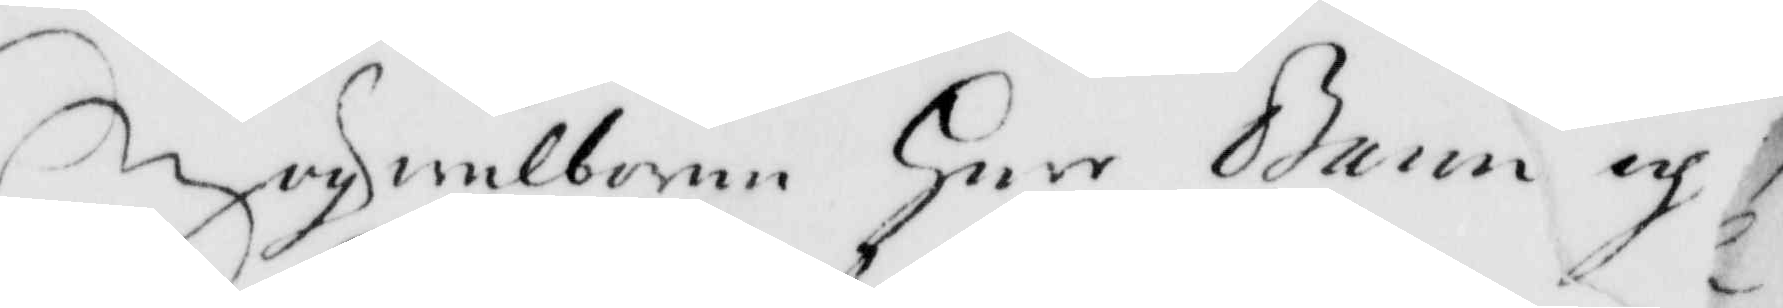Högwälborne Herr Baron och
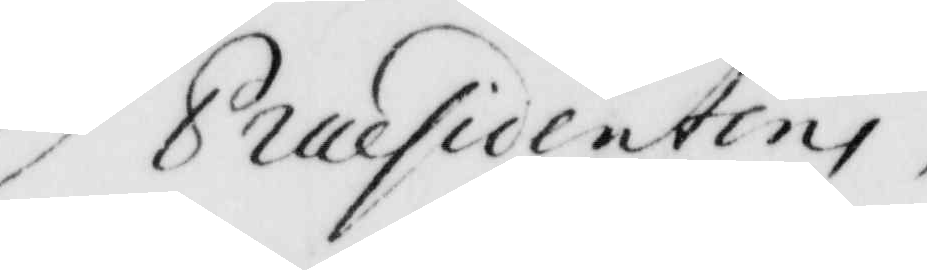Præsidentens
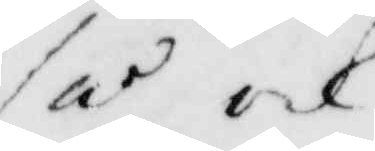så och
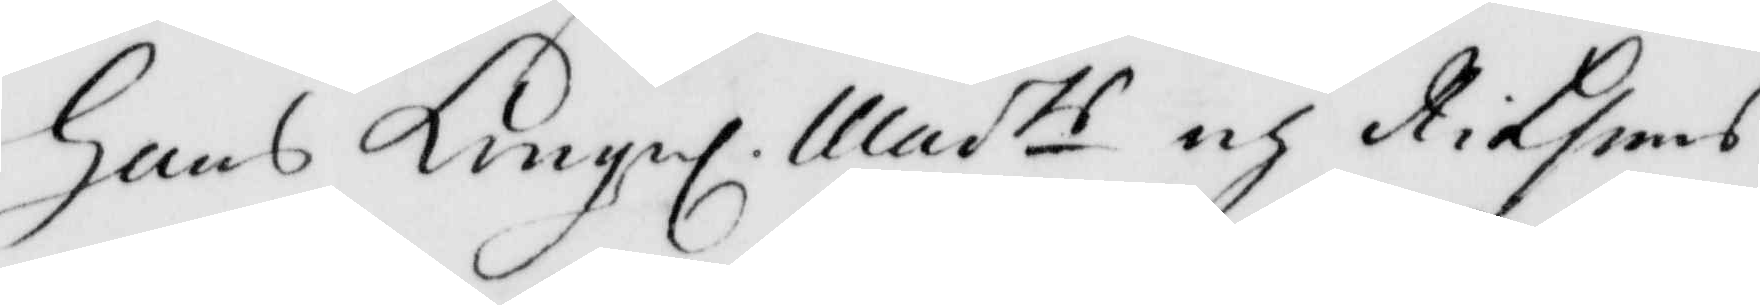Hans Kungl Maits och Riksens
